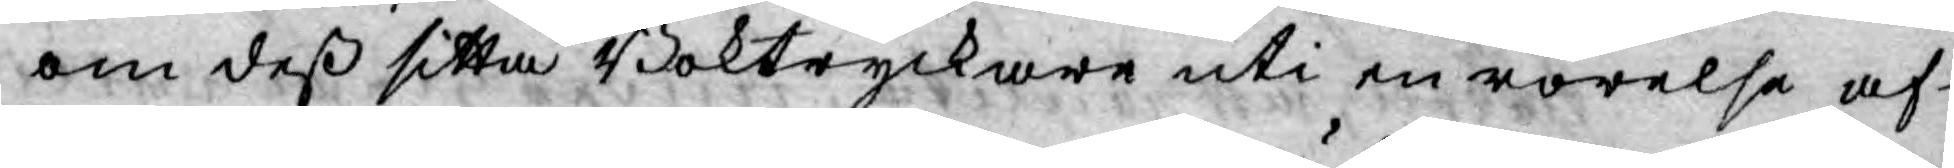om deß sitta Boktryckare uti en rörelse af
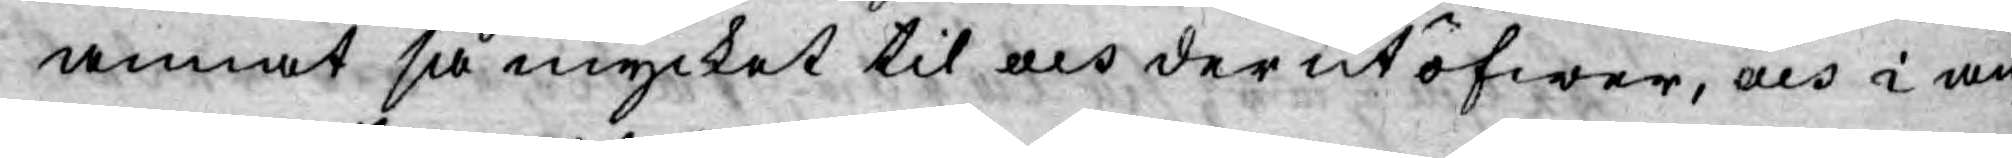annat så mycket til och der utöfwer, och i an¬
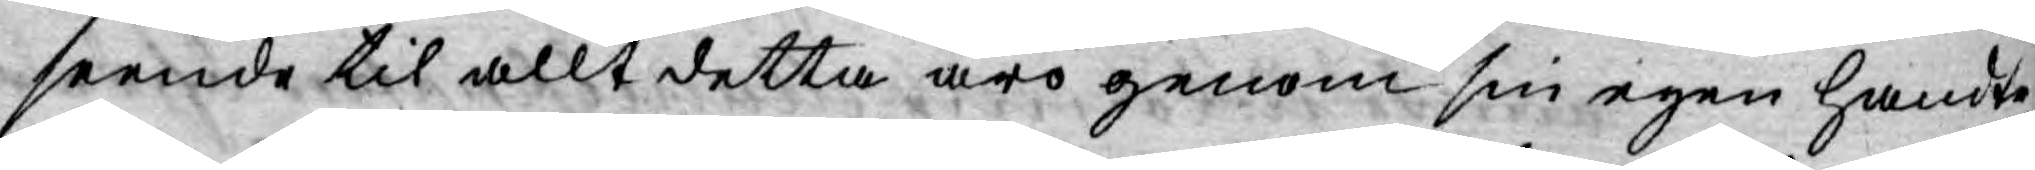seende til allt detta äro genom sin egen handte¬
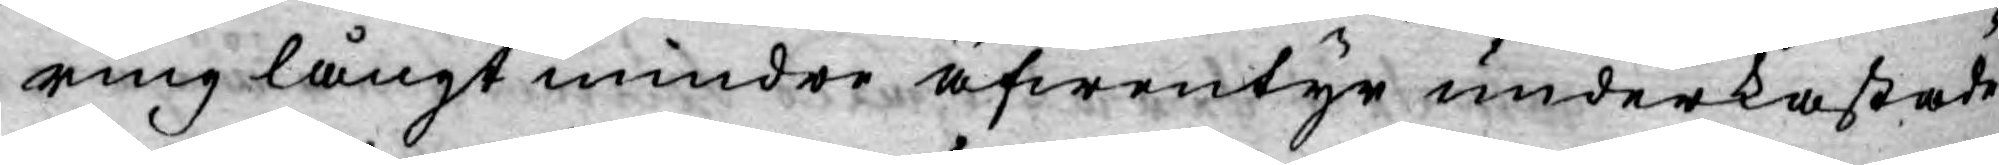ring långt mindre äfwentyr underkastade
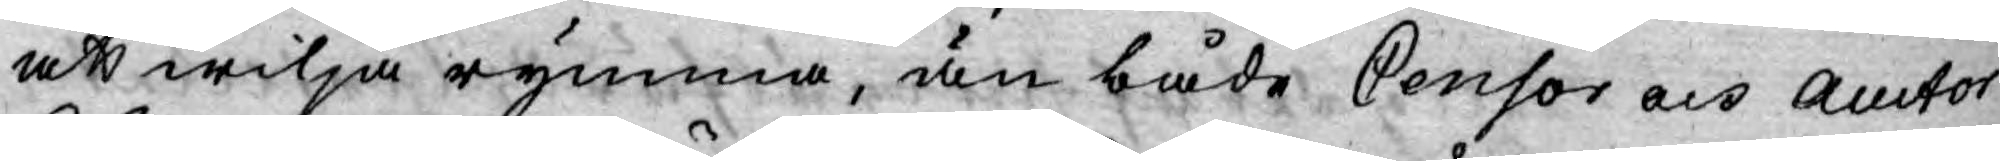att wilja rymma, än både Censor och Auctor
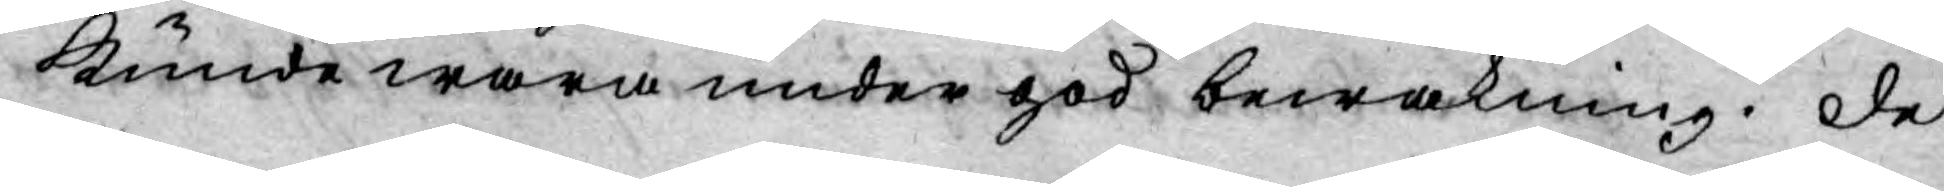kunde wara under god bewakning. De
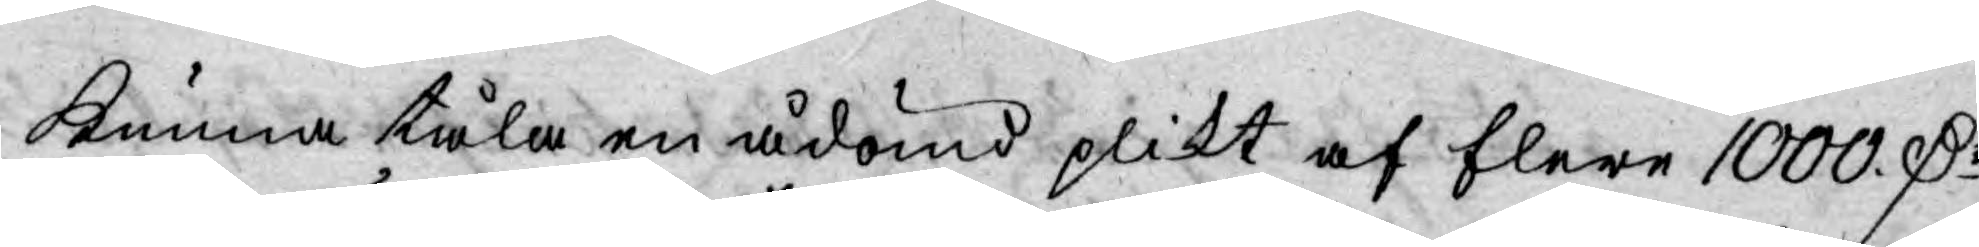kunna tåla en ådömd plikt af flere 1000. D:r
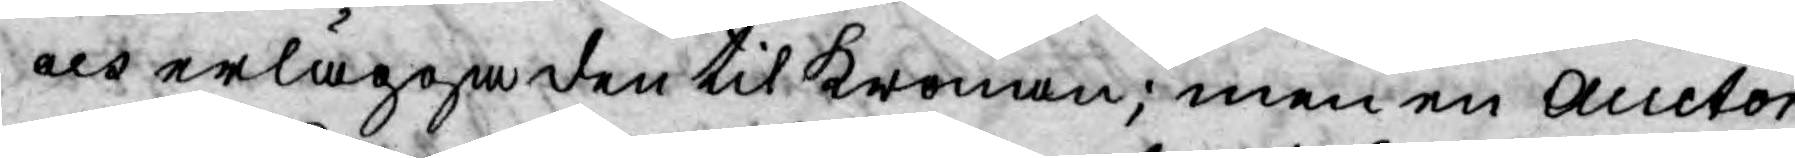och erlägga den til Kronan; men en Auctor
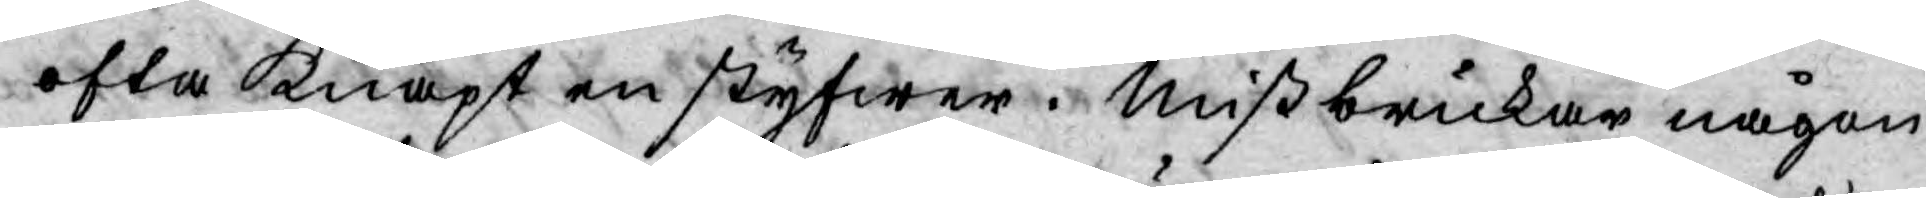ofta knapt en styfwer. Mißbrukar någon
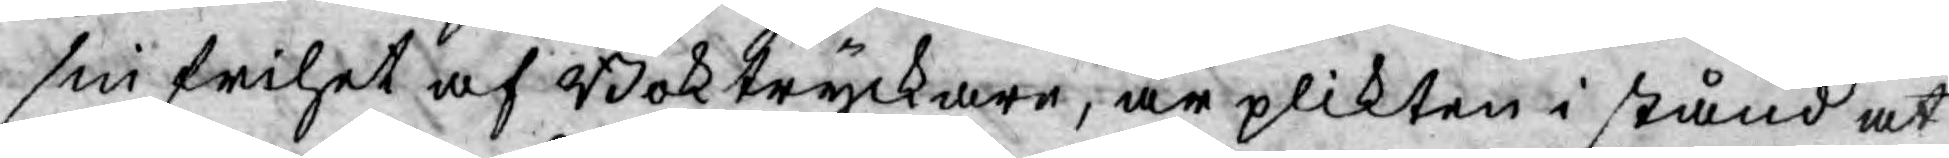sin frihet af Boktryckare, är plikten i stånd at
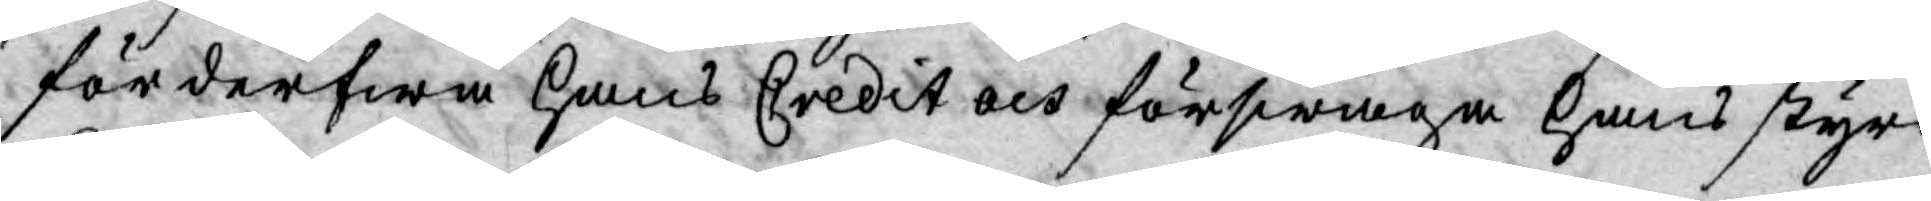förderfwa hans Credit och förswaga hans styrc¬
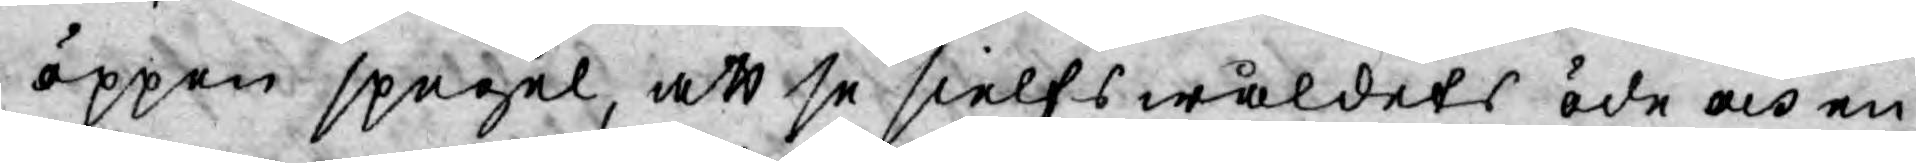öppen spegel, att se sielfswåldets öde och en
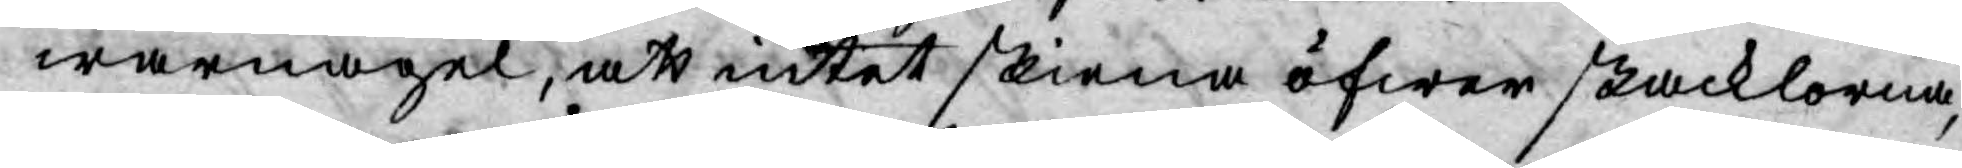warnagel, att intet skiena öfwer skacklorna,
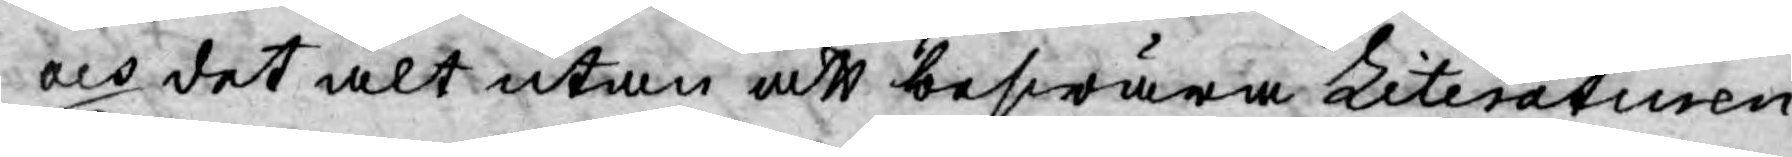och det alt utan att beswära Literaturen.
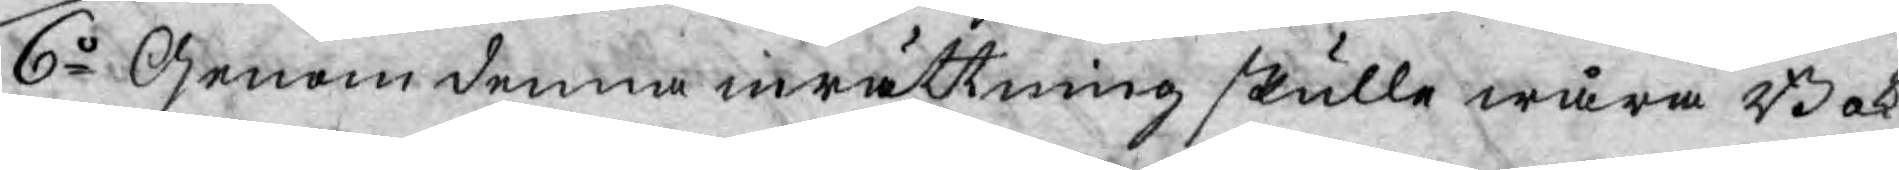6o Genom denna inrättning skulle wåra Bok¬
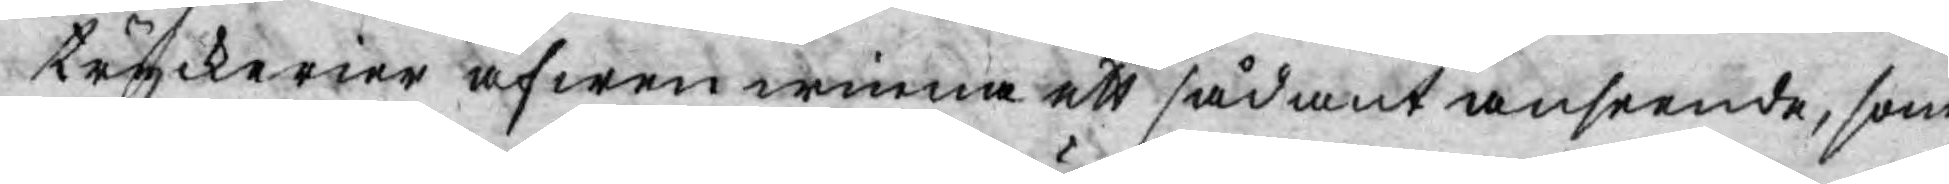tryckerier äfwen winna ett sådant anseende, som
